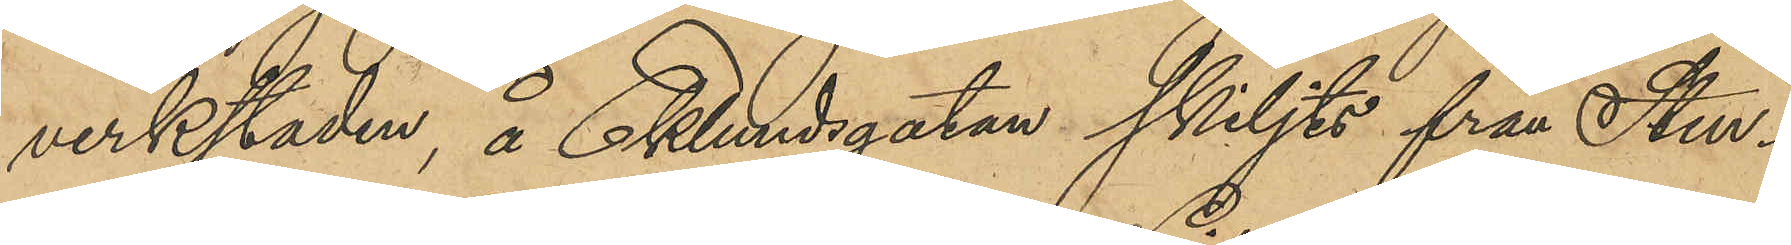verkstaden, å Eklundsgatan skiljts från Sten¬
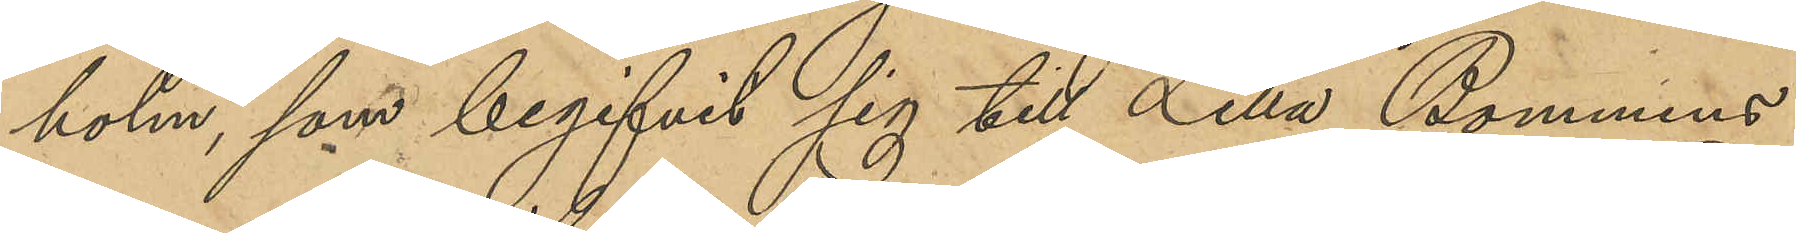holm, som begifvit sig till Lilla Bommens
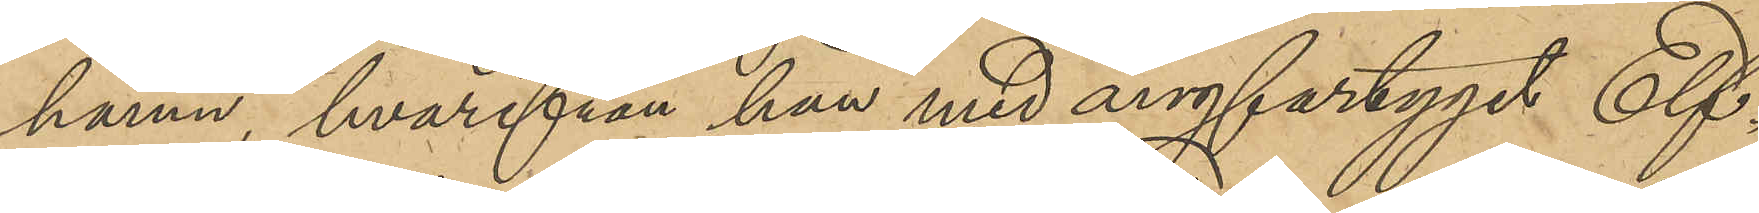hamn, hvarifrån han med ångfartyget Elf¬
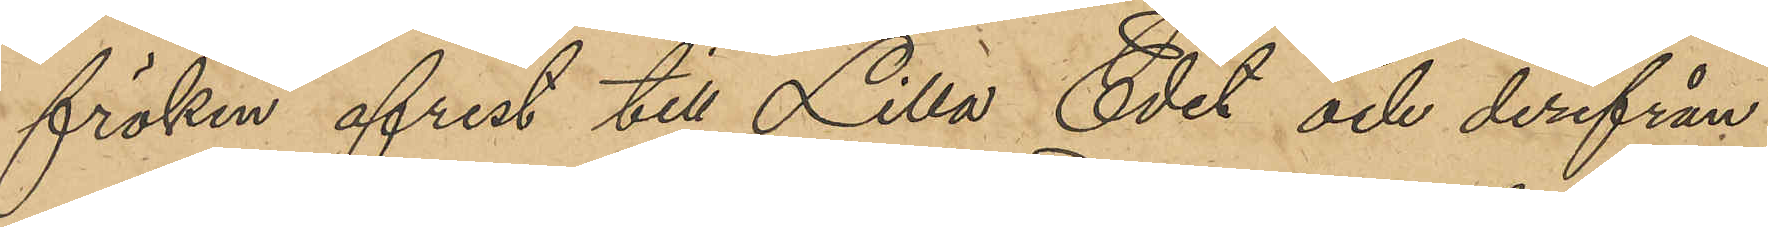fröken afrest till Lilla Edet och derifrån
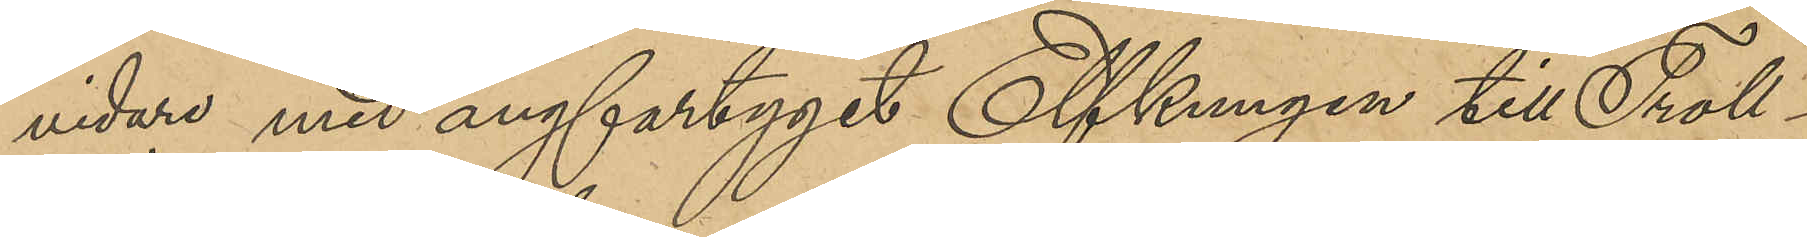vidare med ångfartyget Elfkungen till Troll¬
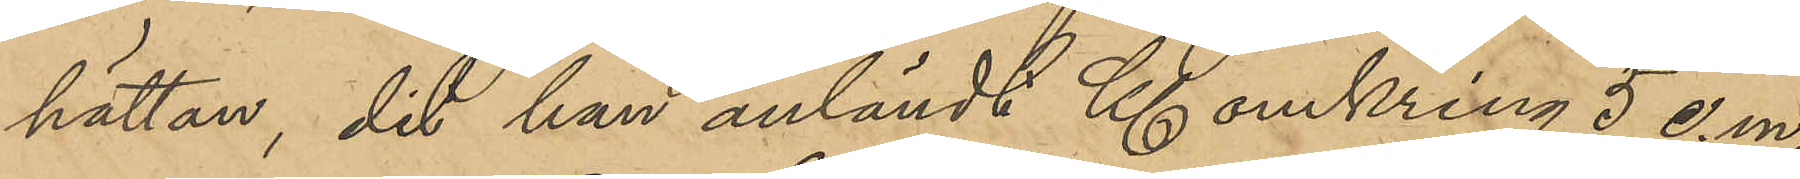hättan, dit han anländt Kl omkring 5 e.m.;
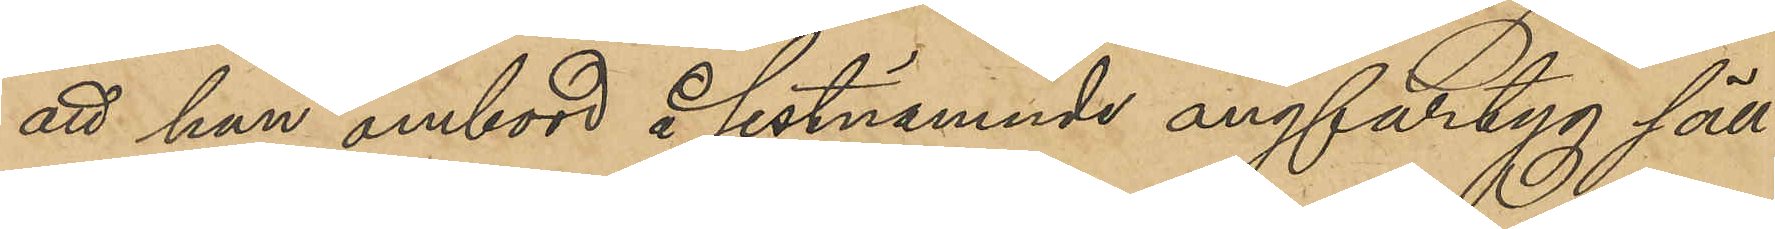att han ombord å sistnämnde ångfartyg säll¬
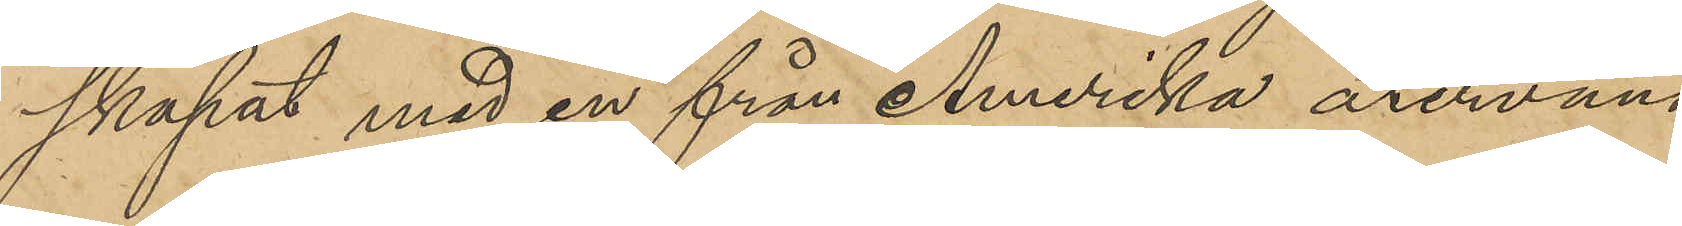skapat med en från Amerika återvänd
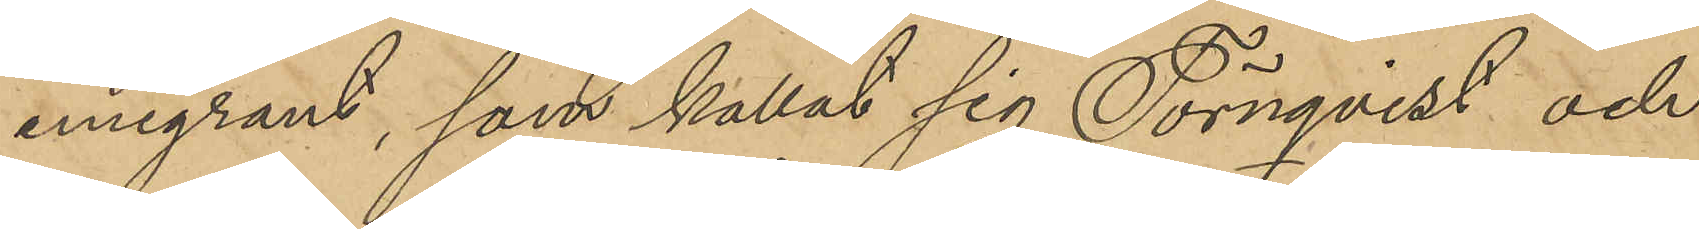emigrant, som kallat sig Törnqvist och
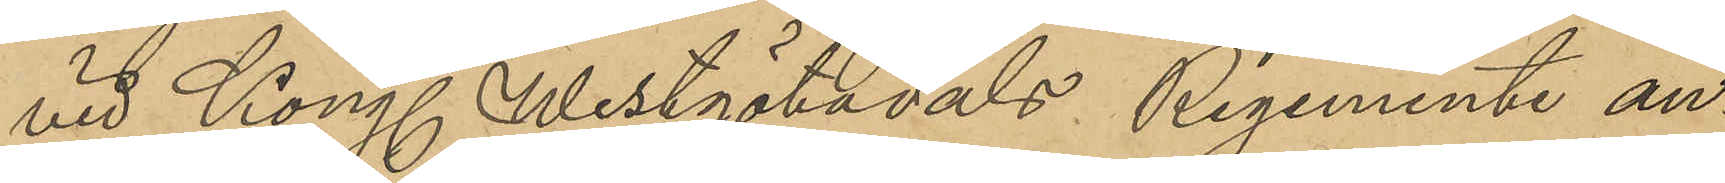vid Kong. Westgötadals regemente an¬
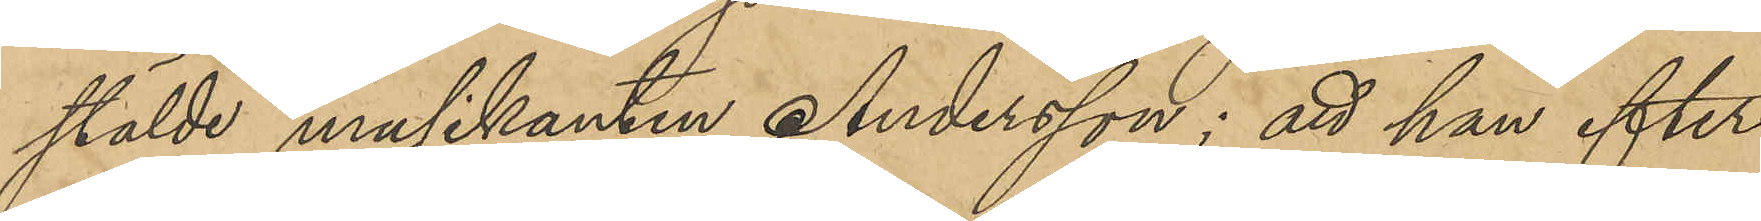stälde musikanten Andersson; att han efter
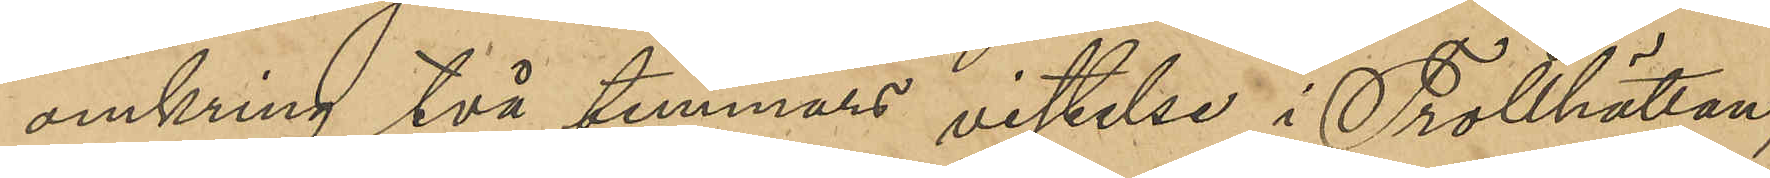omkring två timmars vistelse i Trollhättan,
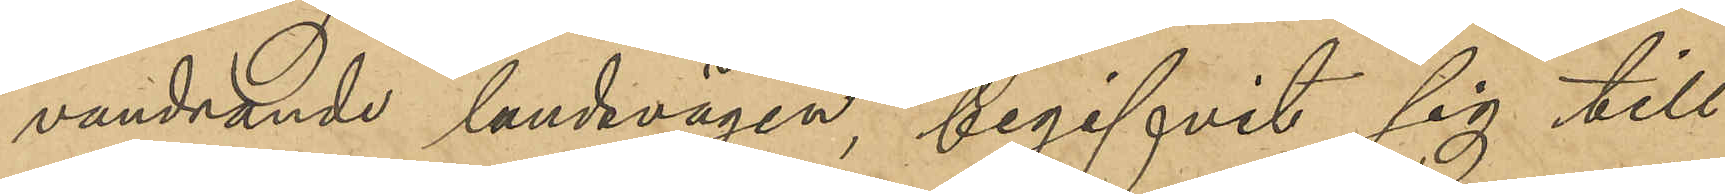vandrande landsvägen, begifvit sig till
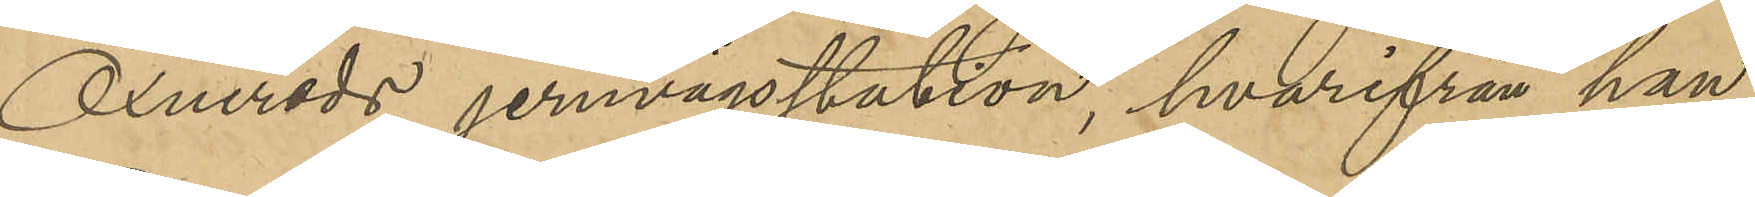Öxnereds jernvägsstation, hvarifrån han
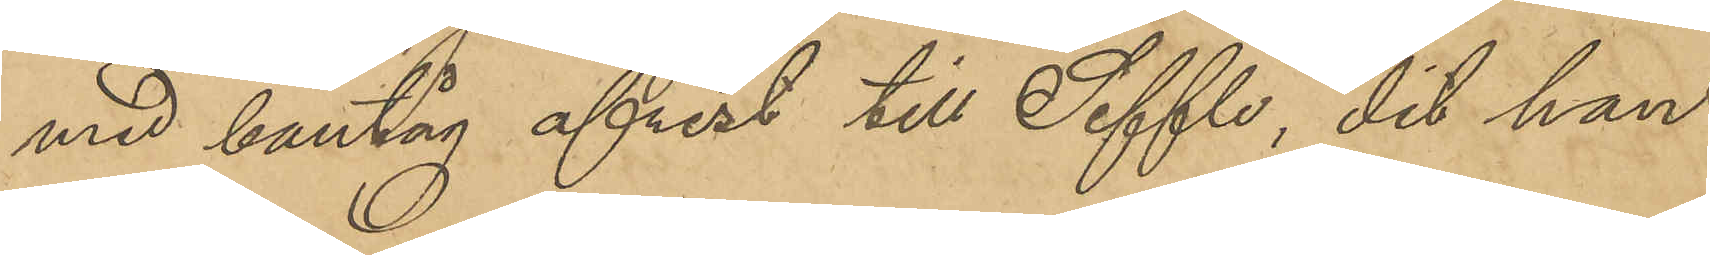med bantåg afrest till Seffle, dit han
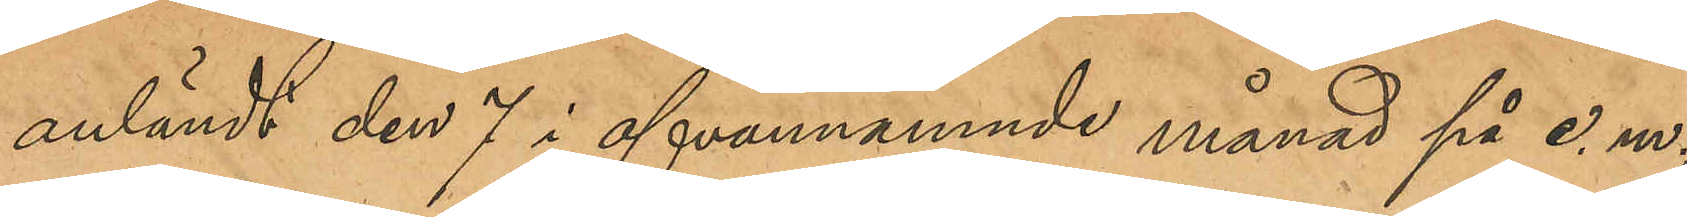anländt den 7 i ofvannämnde månad på e.m.;
